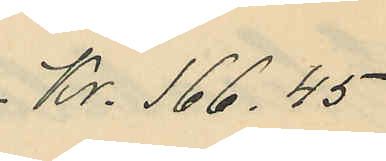 Kr. 166.45
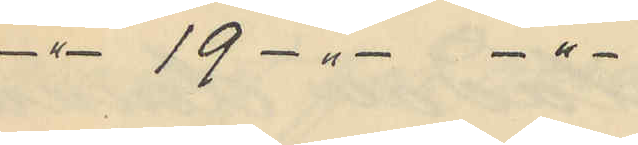-"- 19 -"- -"-
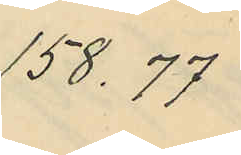158,77
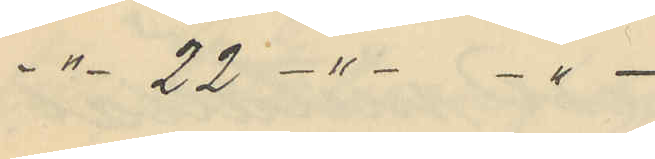-"- 22 -"- -"-
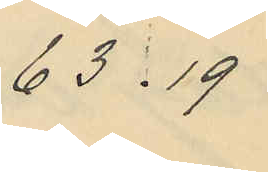63:19
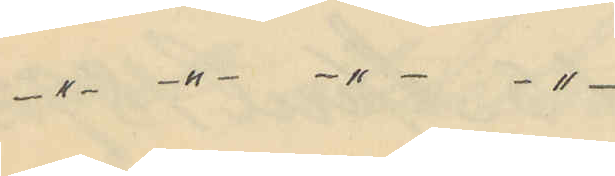    -"- -"- -"- -"-
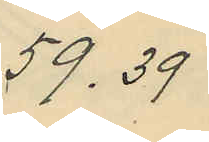59,39
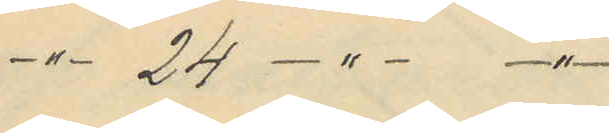 -"- 24 -"- -"-
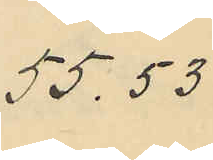55,53
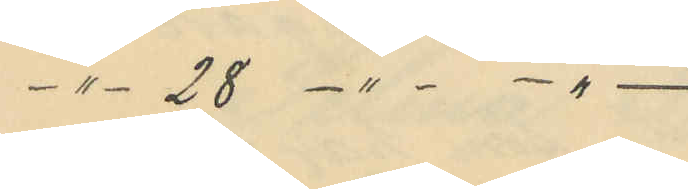-"-  28 -"- -"-
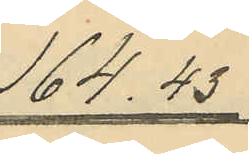164.43
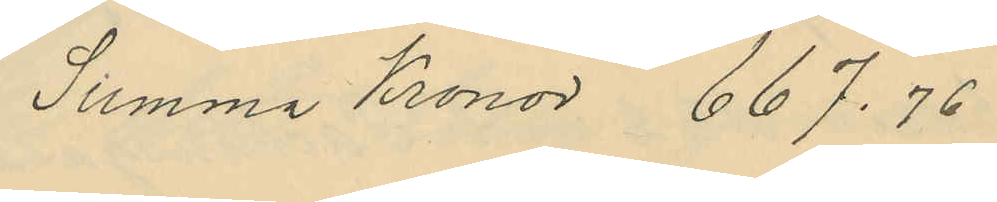Summa Kronor 667.76
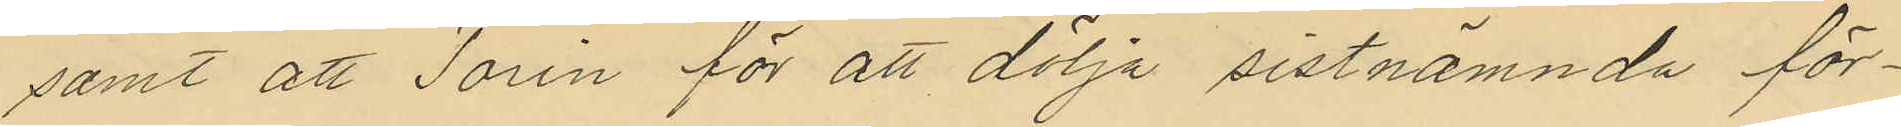samt att Torin för att dölja sistnämnda för¬
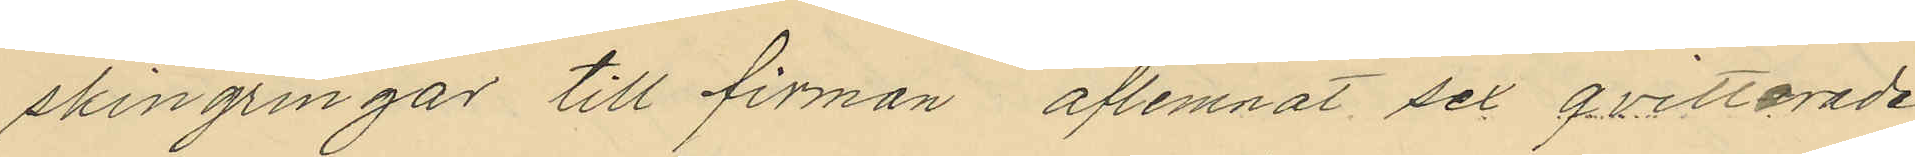skingringar till firman aflemnat sex qvitterade
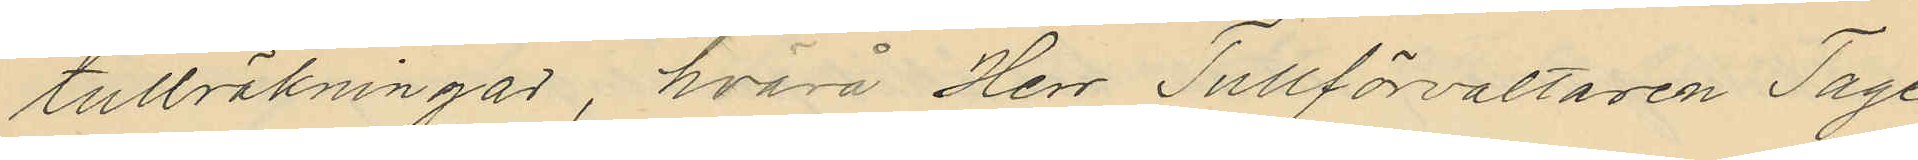tullräkningar, hvarå Herr Tullförvaltaren Tage
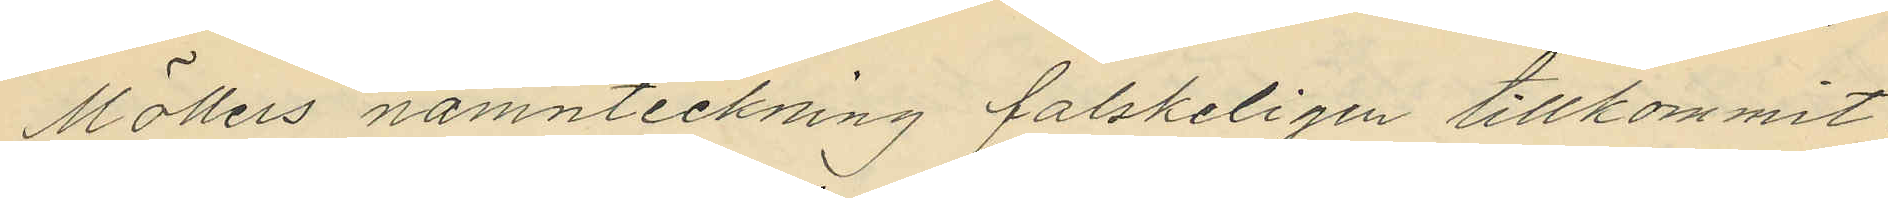Möllers namnteckning falskeligen tillkommit.
